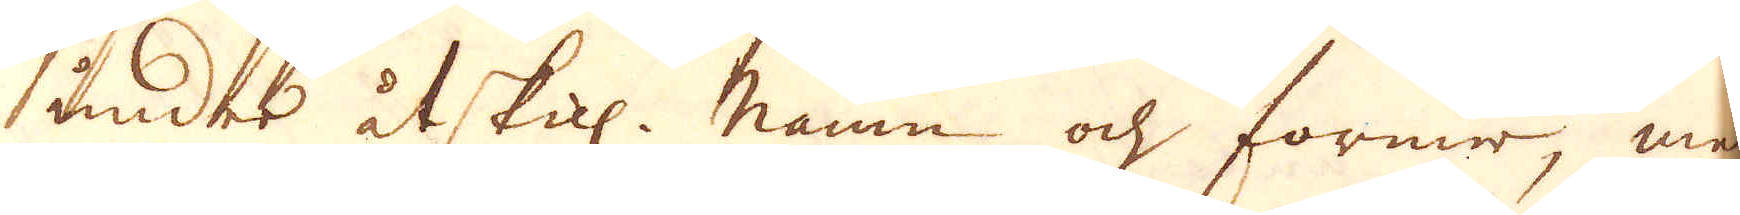under åtskil: namn och former, men
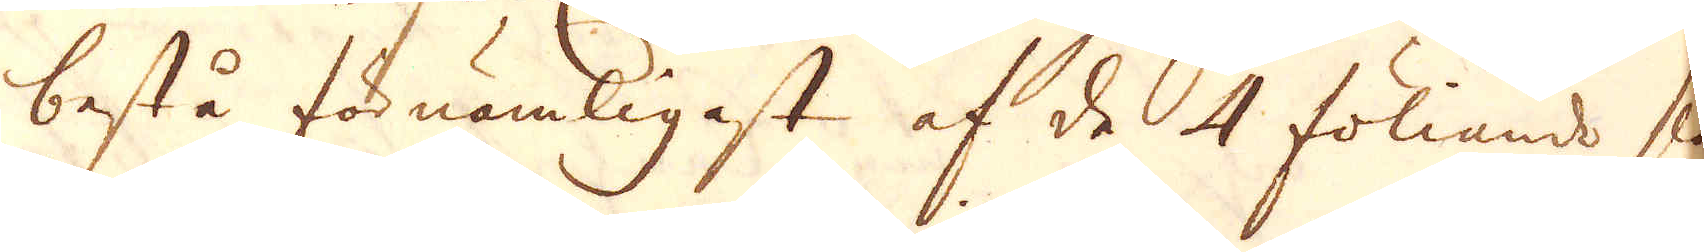bestå förnämligast af de 4 föliands slag:
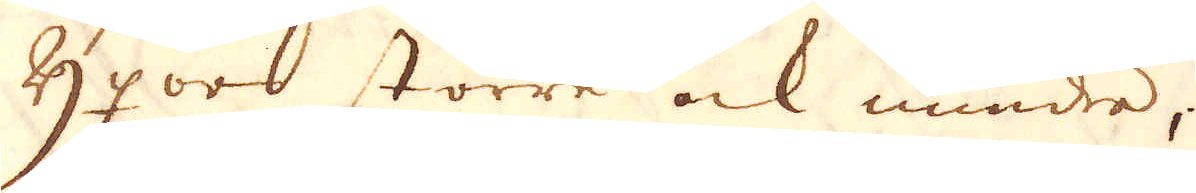Yyxor större ock mindre;
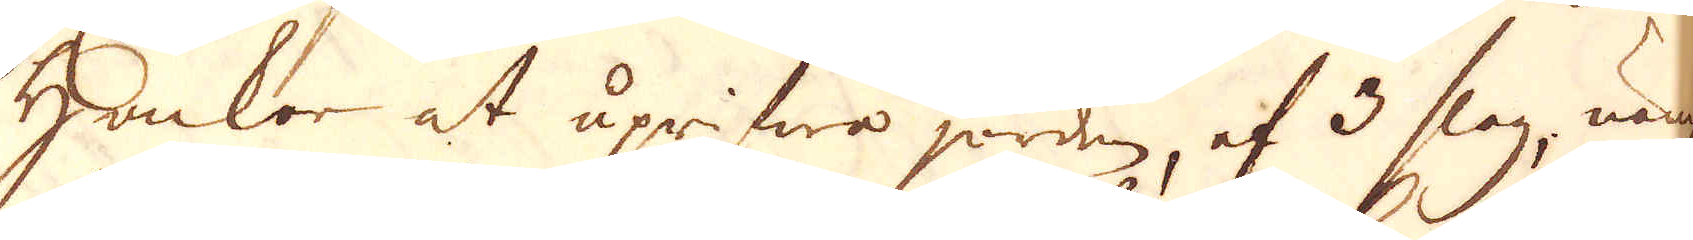Hackor at uprifwa jorden, af 3 slag, näml:
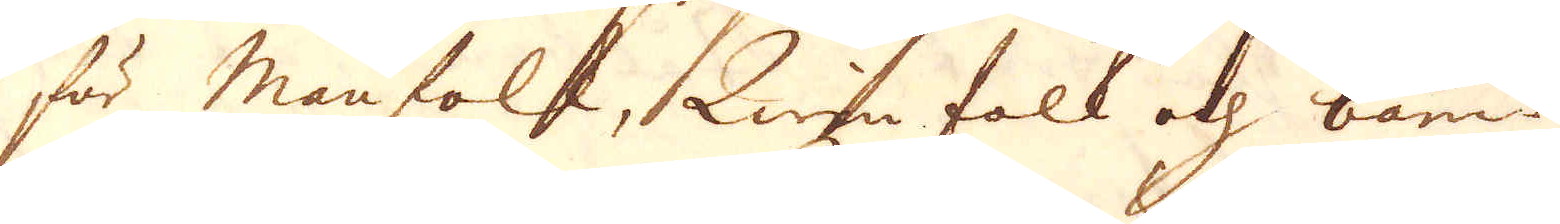för manfolk, Quinfolk och barn.
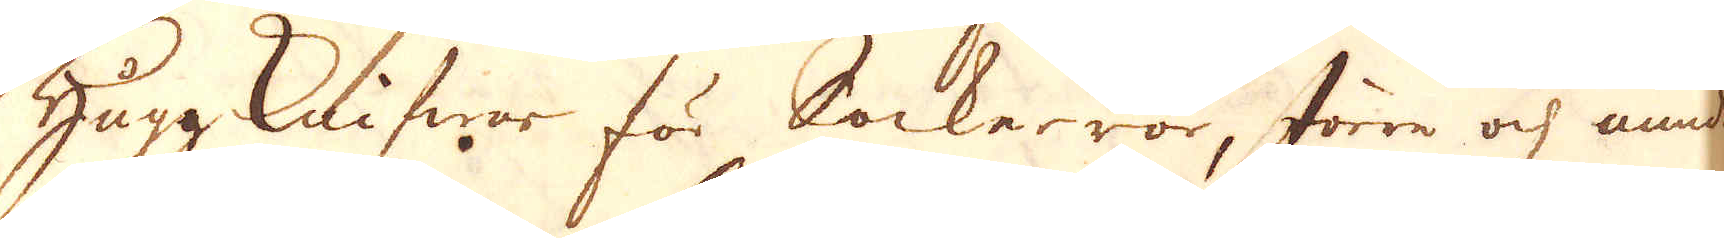Huggknifwar för Sockerrör, större och mindre.
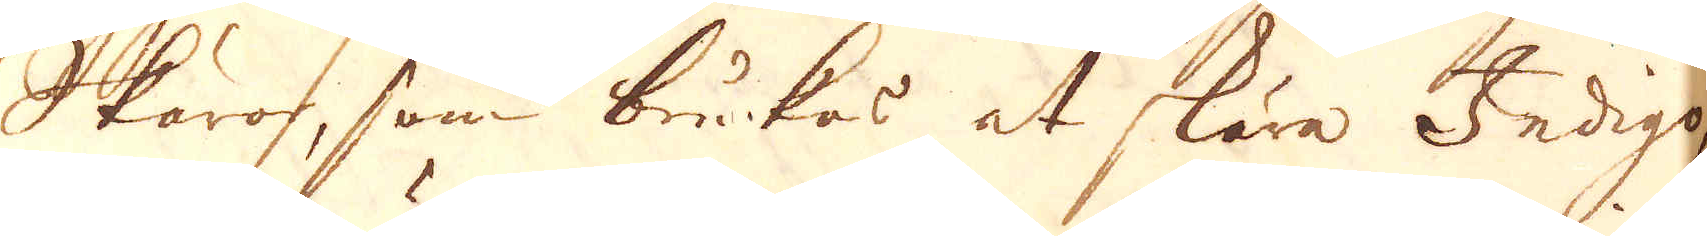Skäror, som brukas at skära Indigo,
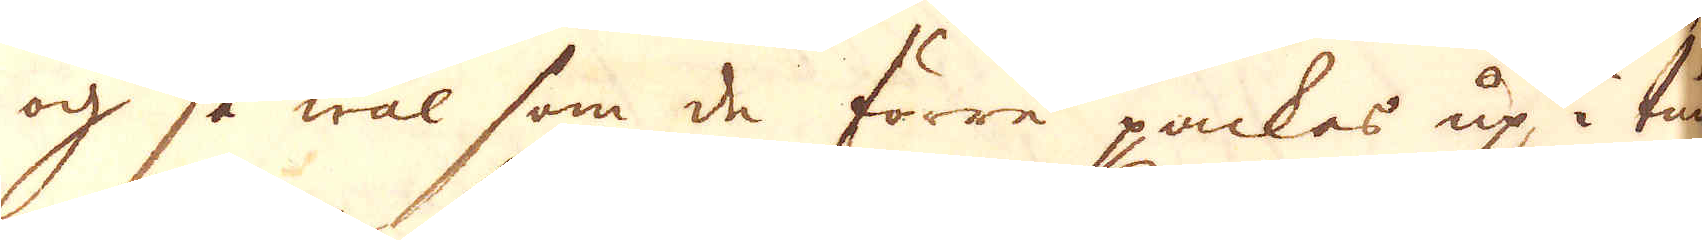och så wäl som de förre packas up i tun-
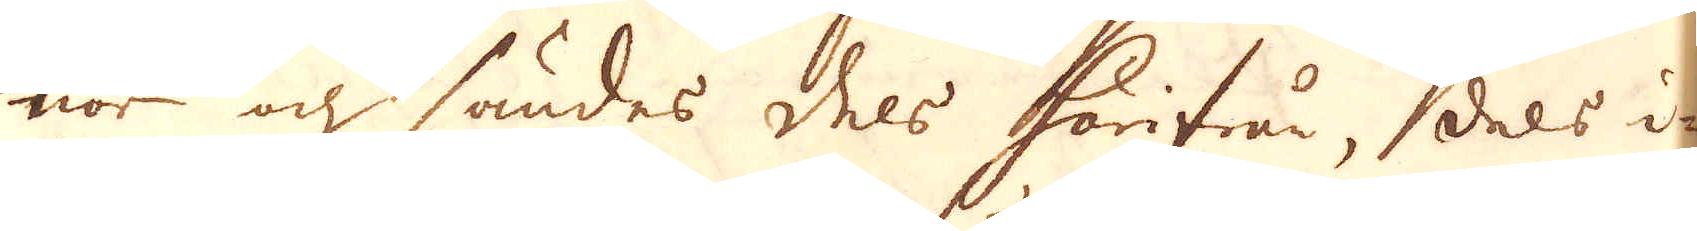nor och sändes dels härifrån, dels i-
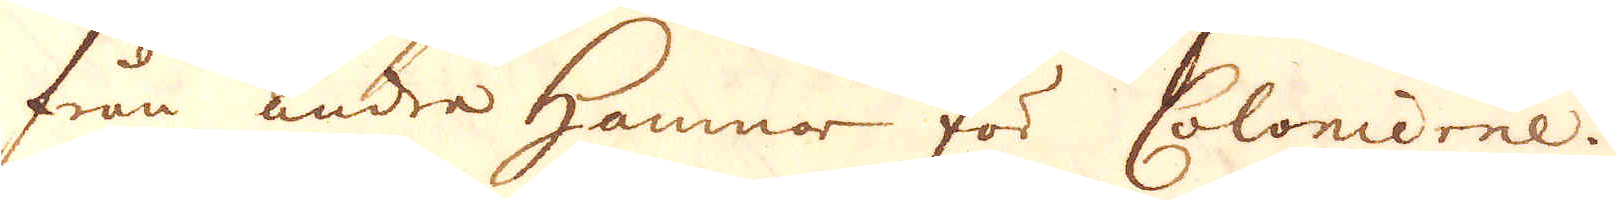från andre hamnar för Colonierne.
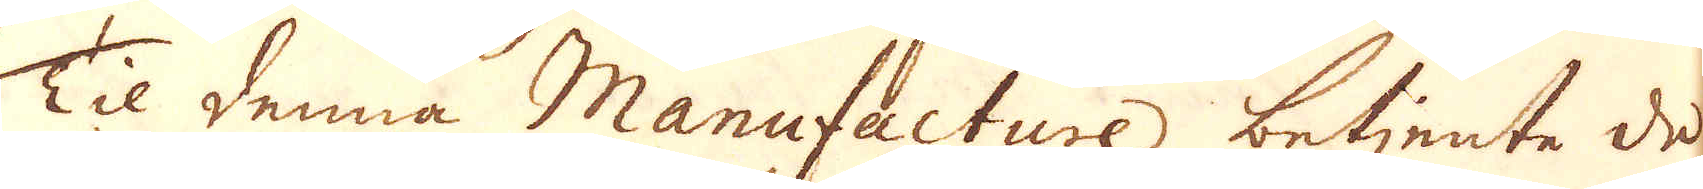Til denna Manufacture betjente de
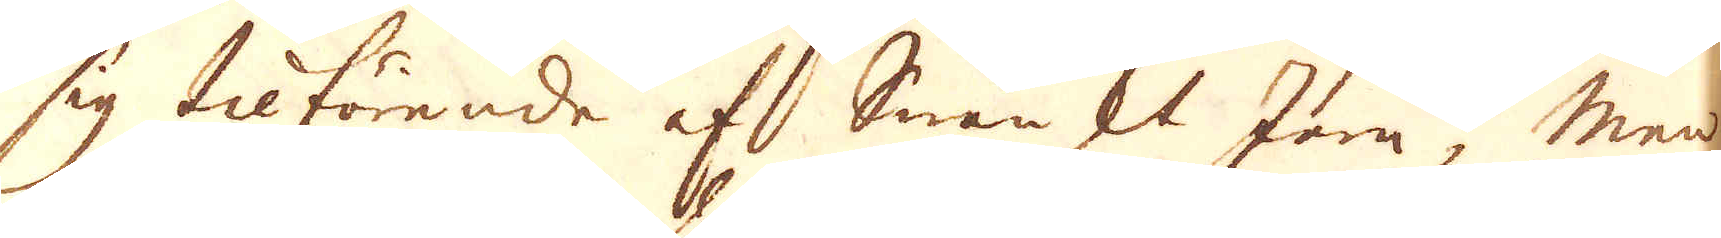sig tilförende af Swänskt Jern, men
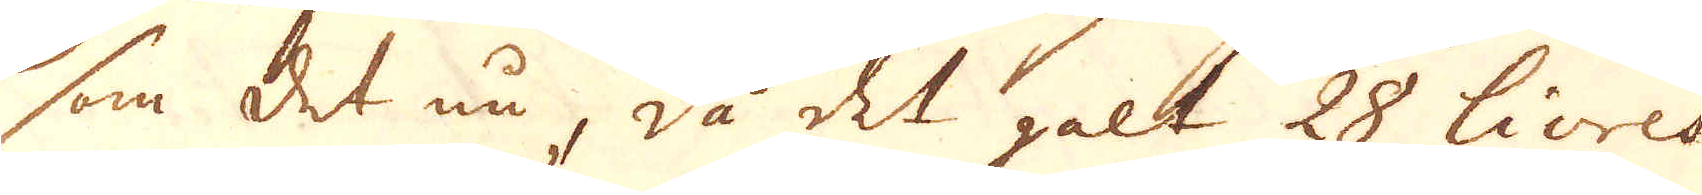som det nu, då det galt 28 livres
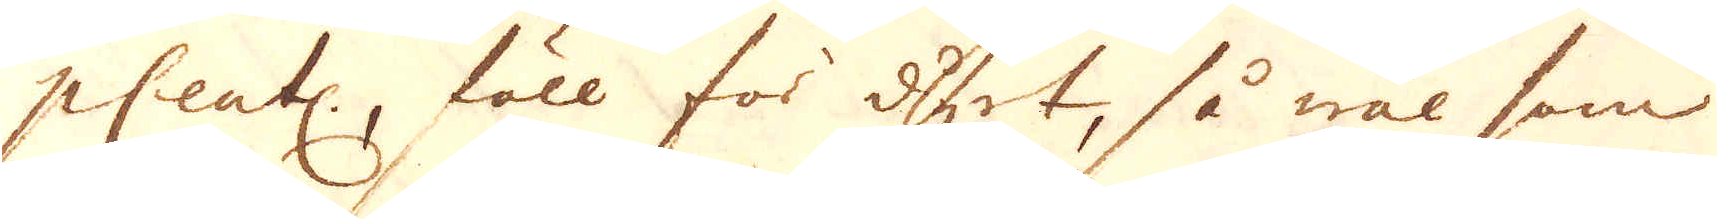p Cent:r, föll för dyrt, så wäl som
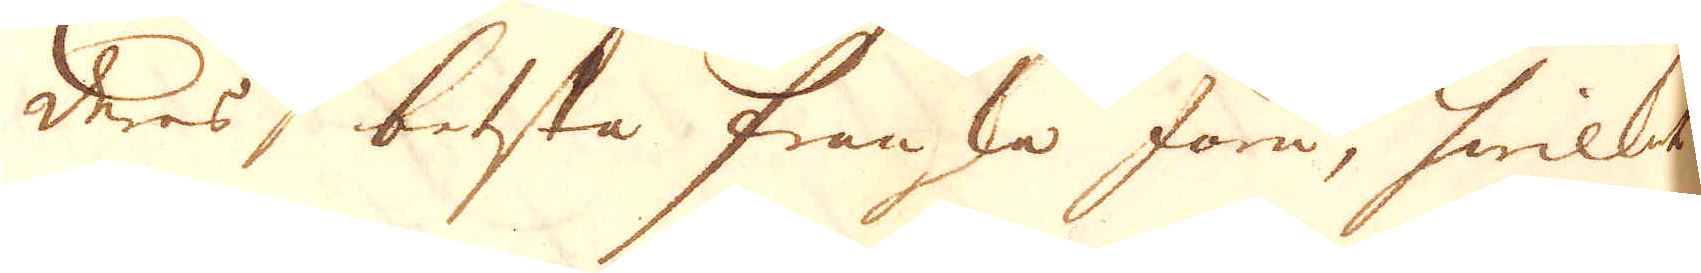deres besta Franska Järn, hwilket
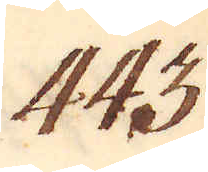443.
